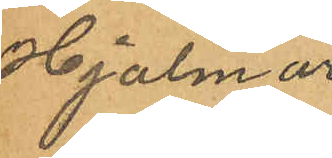Hjalmar
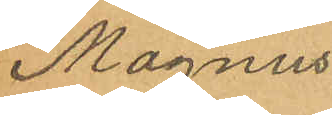Magnus¬
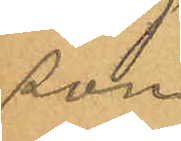son.
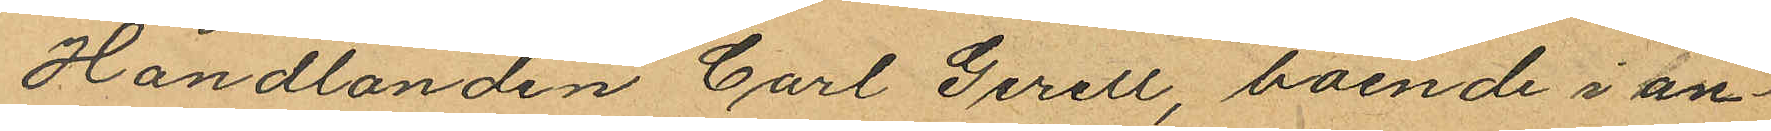Handlanden Carl Gerell, boende i an¬
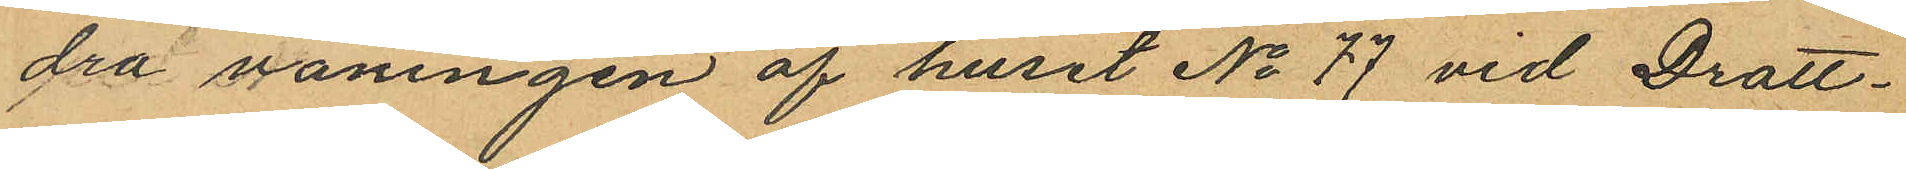dra våningen af huset No 77 vid Drott¬
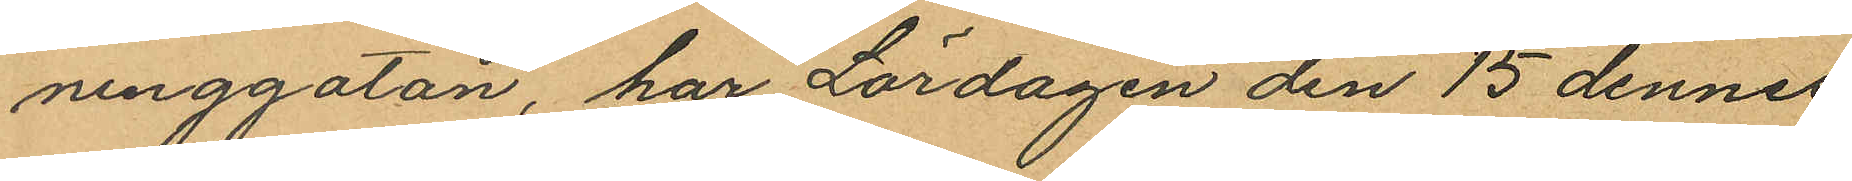ninggatan, har Lördagen den 15 dennes
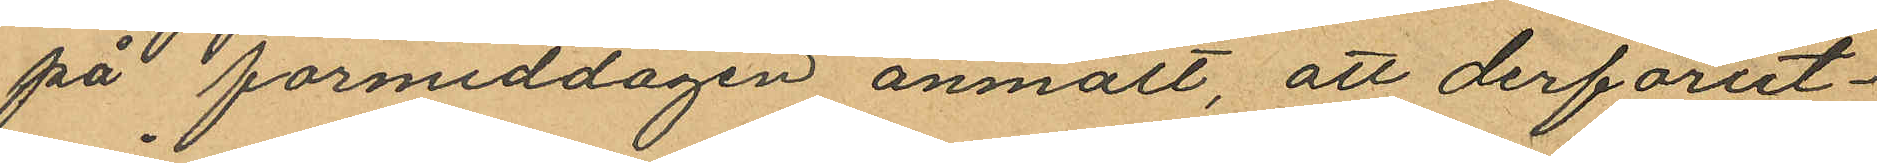på förmiddagen anmält, att derförut¬
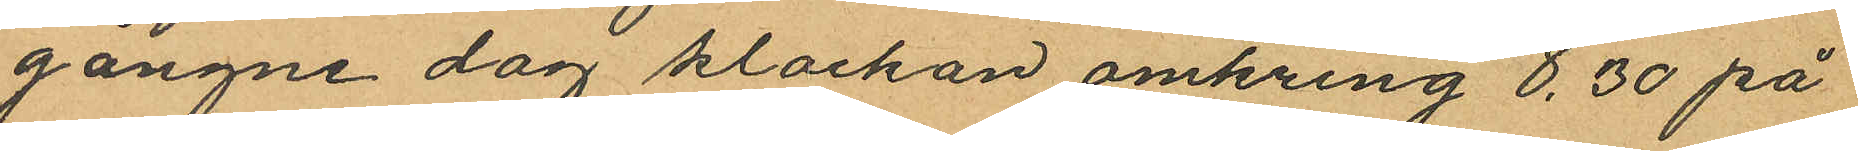gångne dag klockan omkring 8,30 på
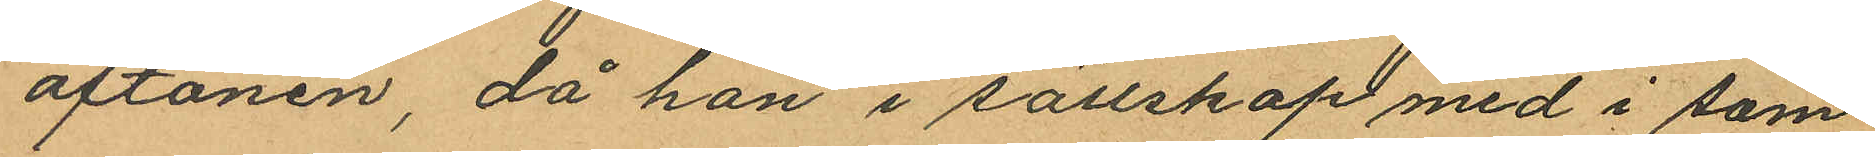aftonen, då han i sällskap med i sam¬
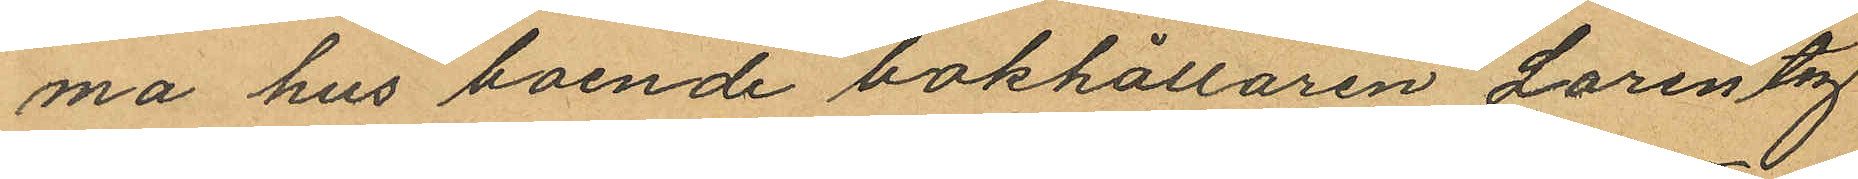ma hus boende bokhållaren Lorentz
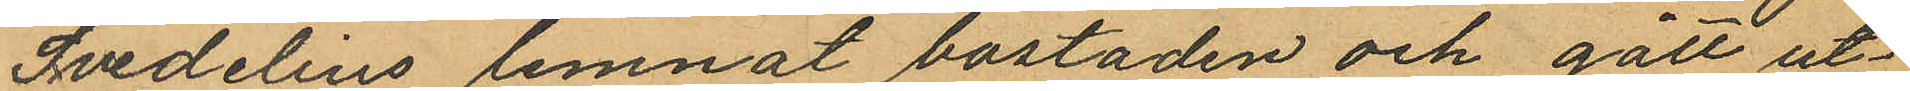Svedelius lemnat bostaden och gått ut¬
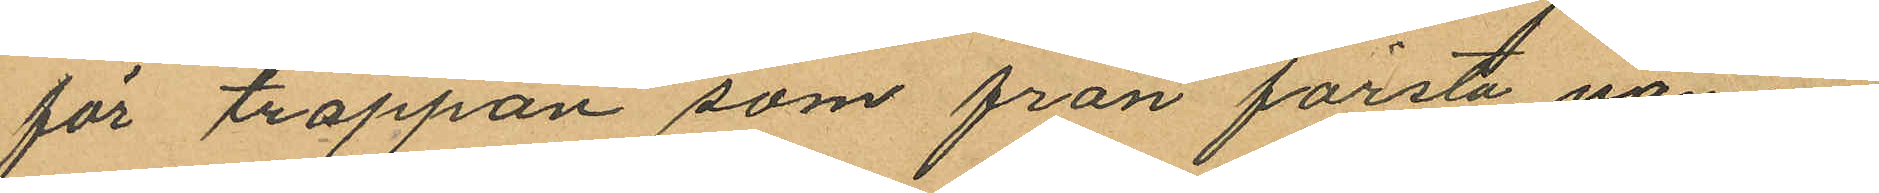för trappan som från första vånin¬
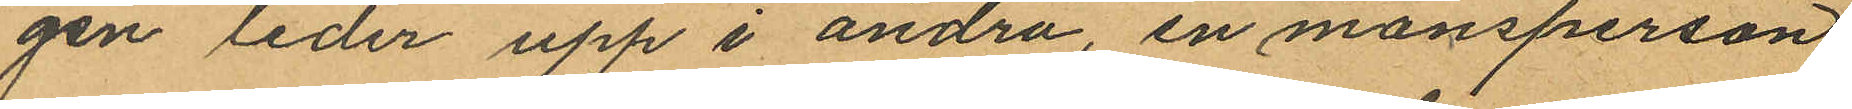gen leder upp i andra, en mansperson
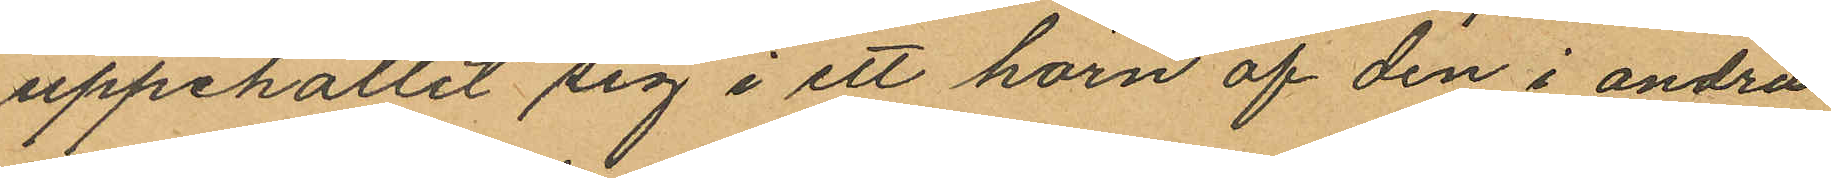uppehållit sig i ett hörn af den i andra
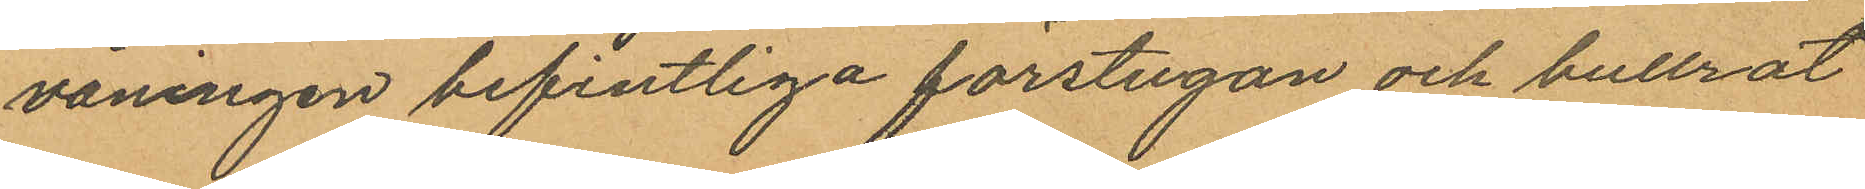våningen befintliga förstugan och bullrat
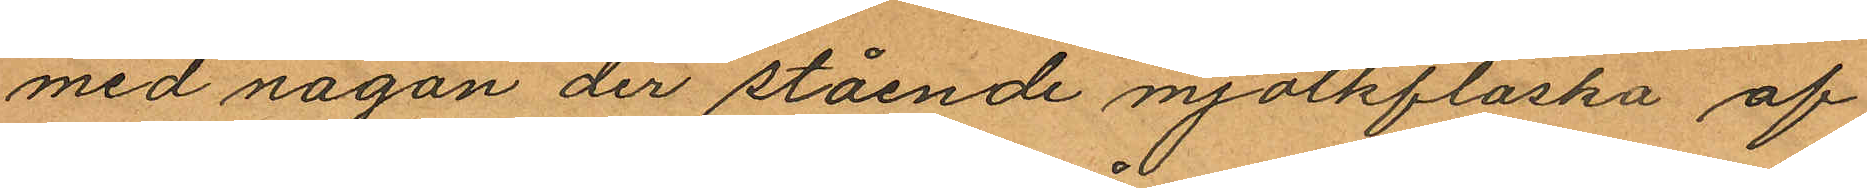med någon der stående mjölkflaska af
